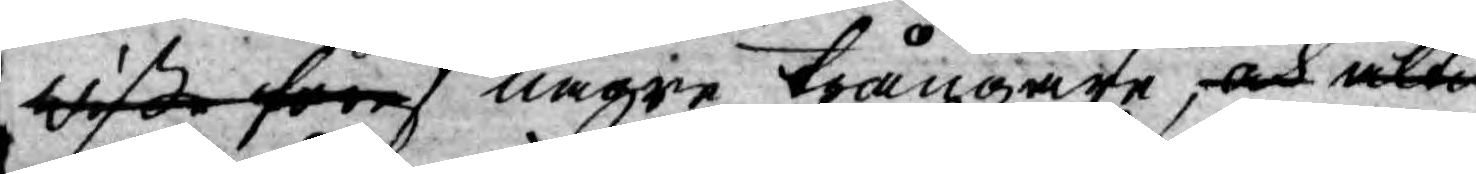wißa föres någre trångare, och altid
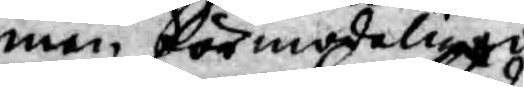men förmodeligen
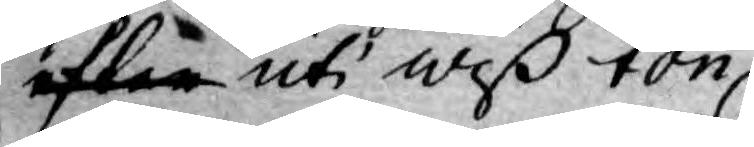efter uti wiß ton
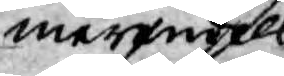merendels
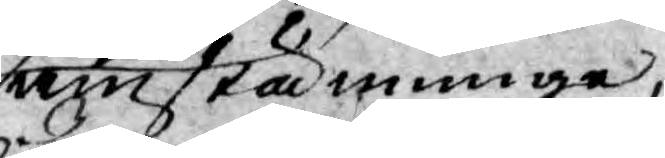samstämmige
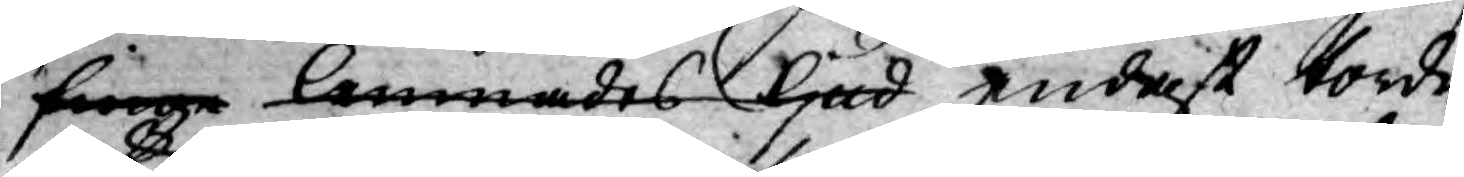finge lemnades ljud endast torde
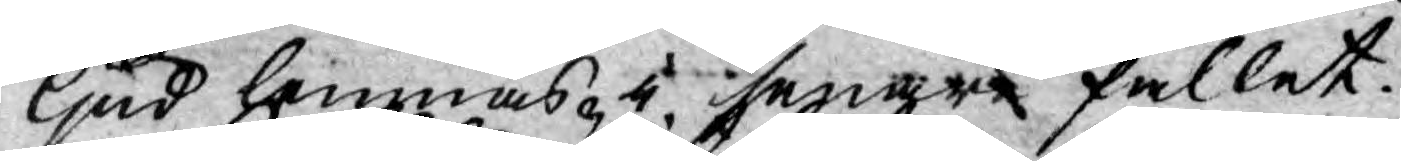ljud lemnas i senare fallet.
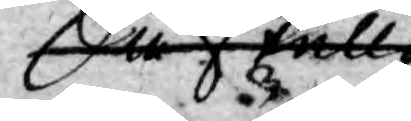Så skulle
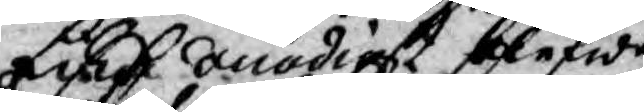Lika onödigt blefwe
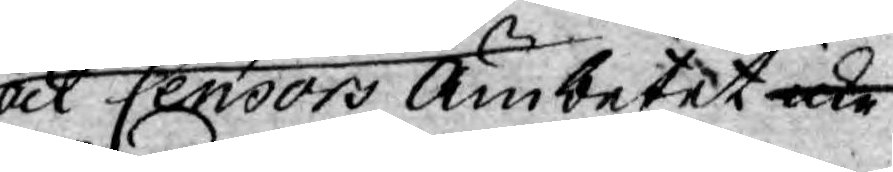ock Censors Ämbetet icke
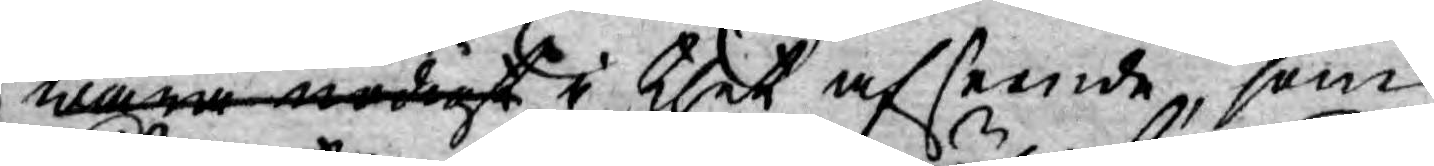wara nödigt i thet afseende, som
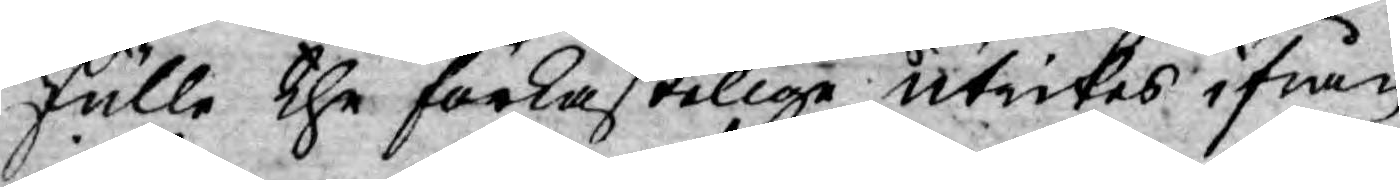skulle the förkastelige utrikes ifrån
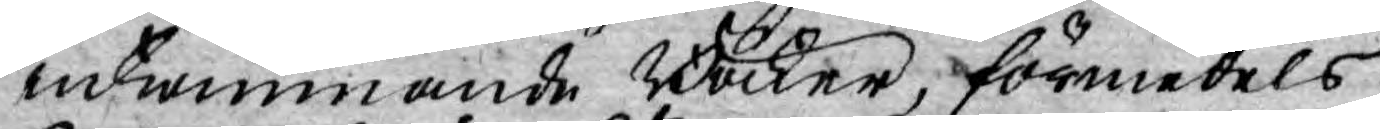inkommande Böcker, förmedels
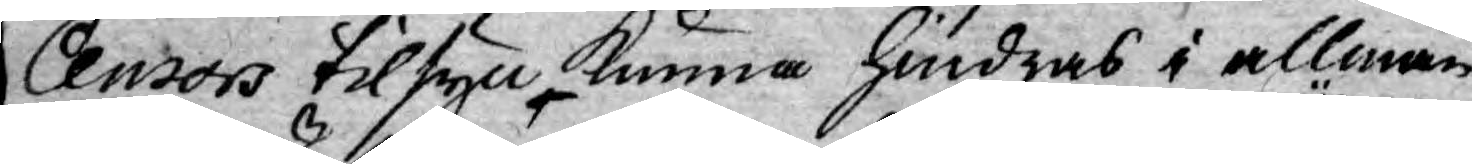Censors tilsyn kunna hindras i allmän¬
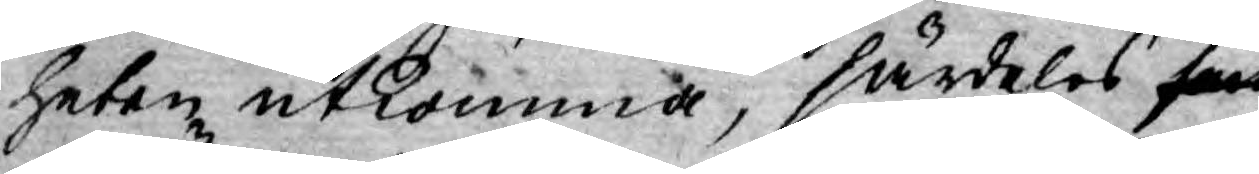heten utkomma, särdeles som
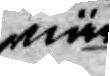när
